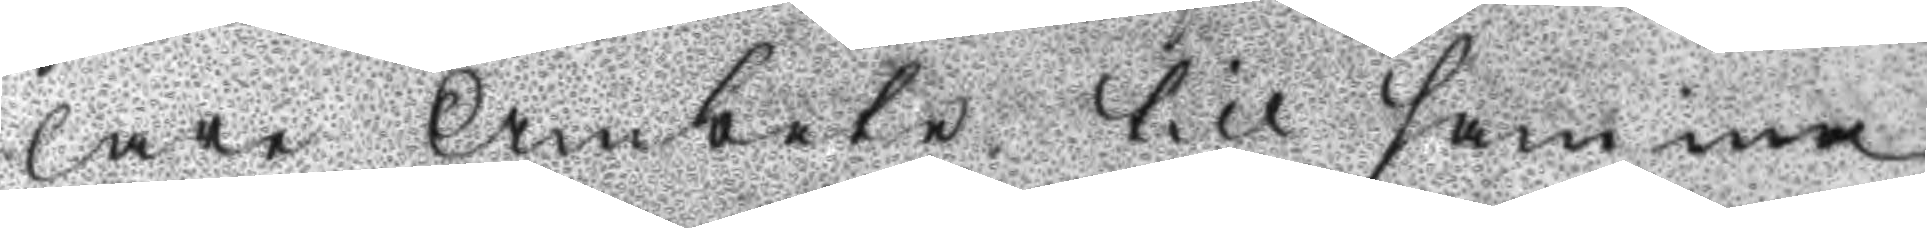lare Ämbetet till samma
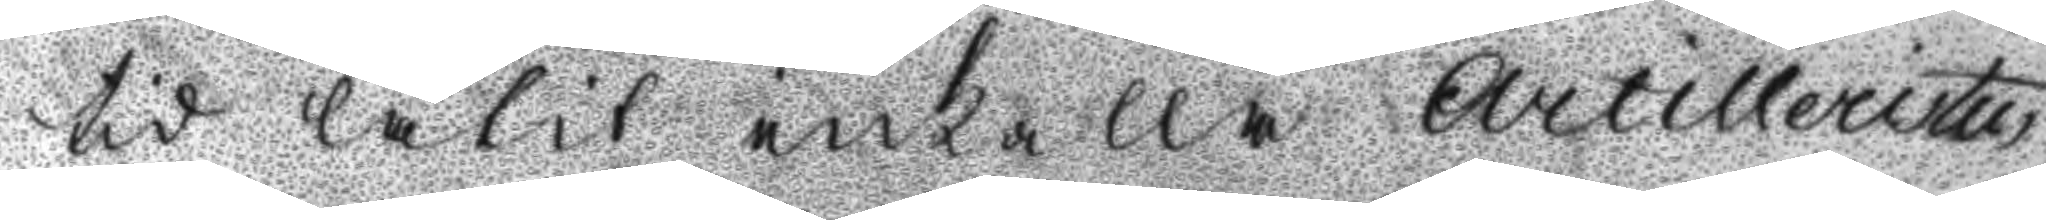tid låtit inkalla Artilleristen
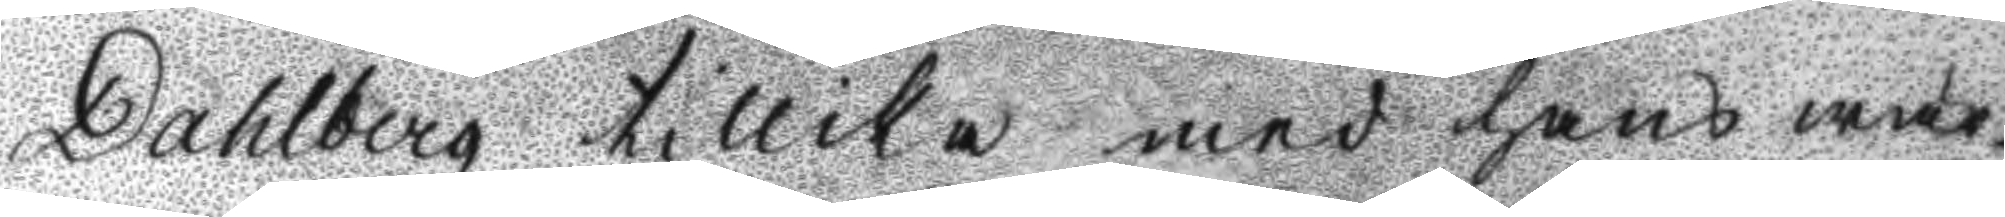Dahlberg tillika med hans wär¬
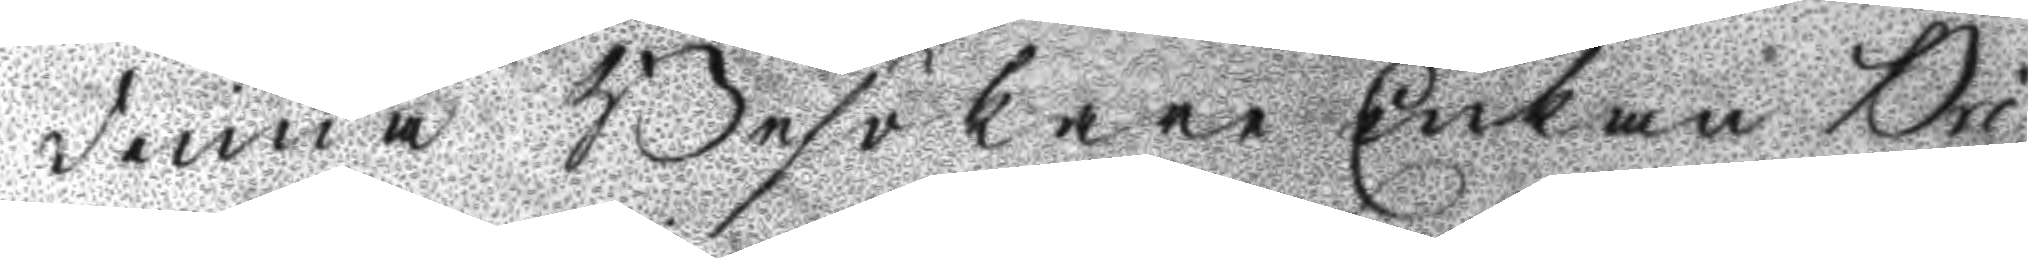dinna Besökare Enkan Bri¬
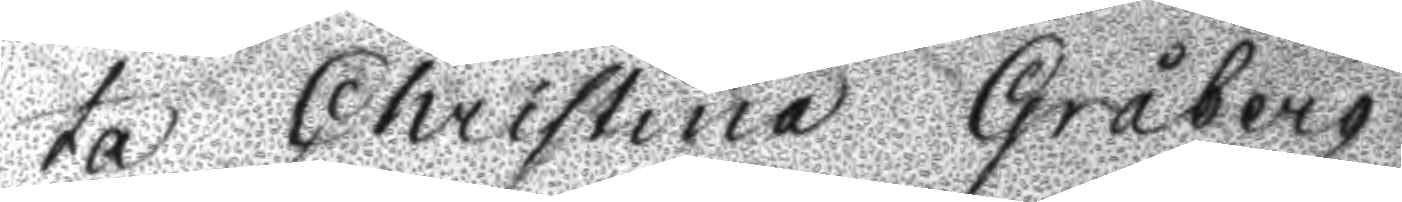ta Christina Gråberg.
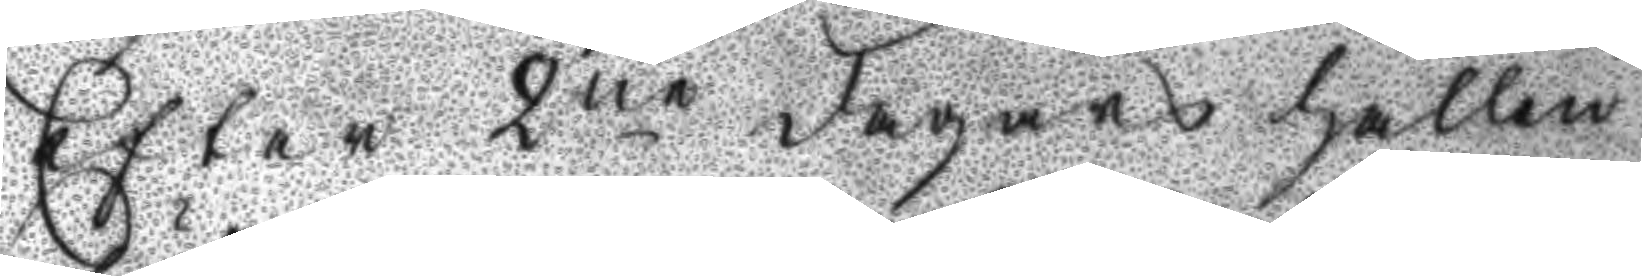Efter 2ne dagars hållen
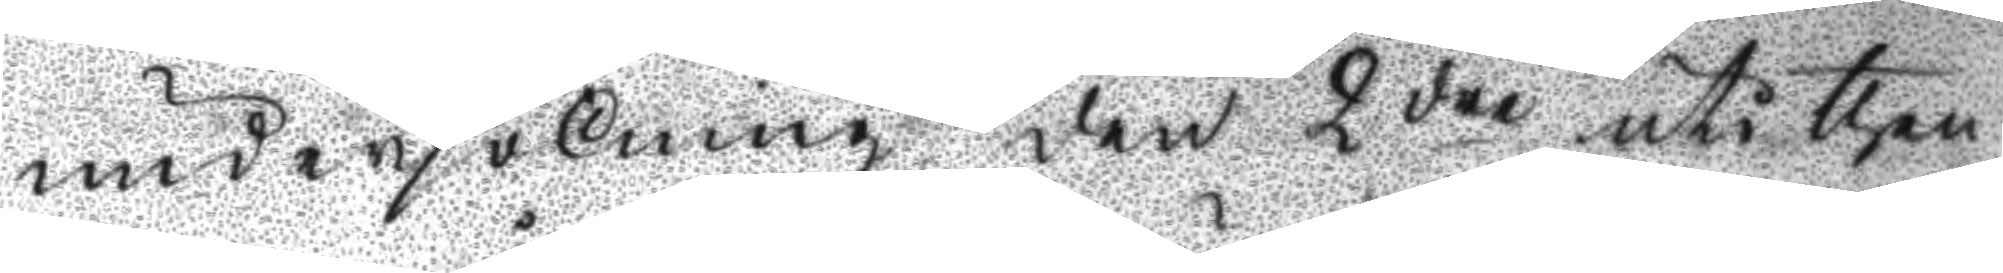undersökning den 2dre uti then¬
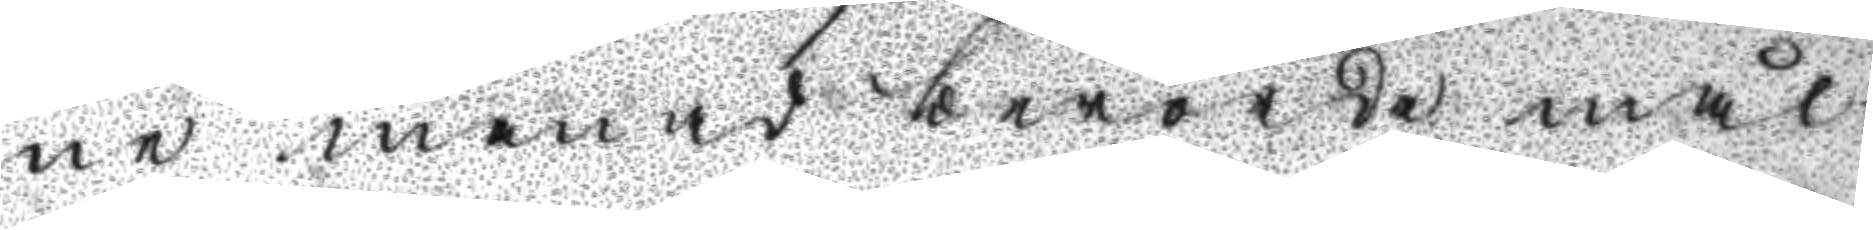ne månad berörde mål
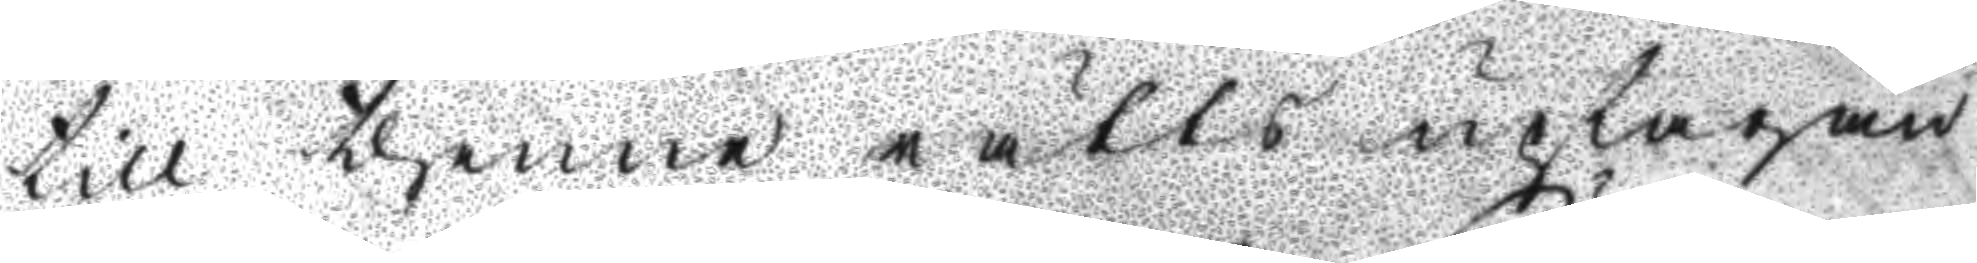till thenne rätts uptagan¬
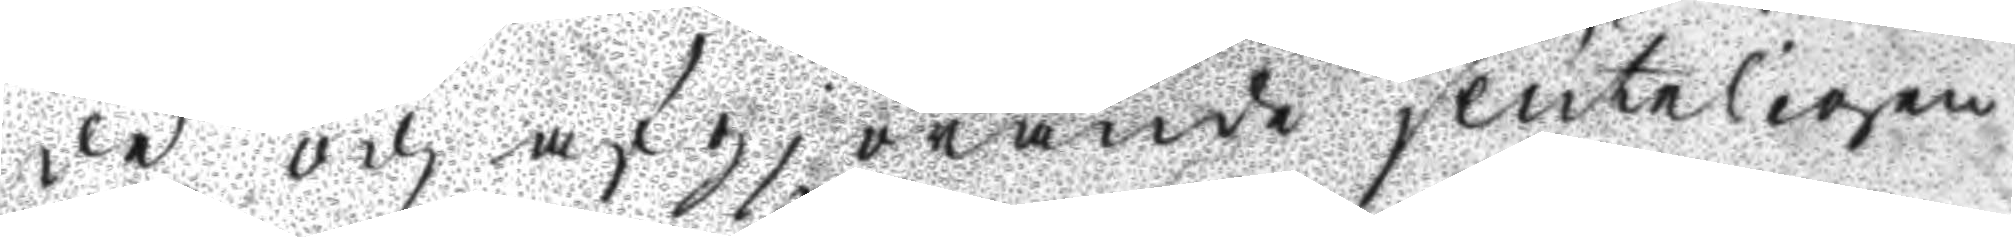de, och afgjörande sluteligen
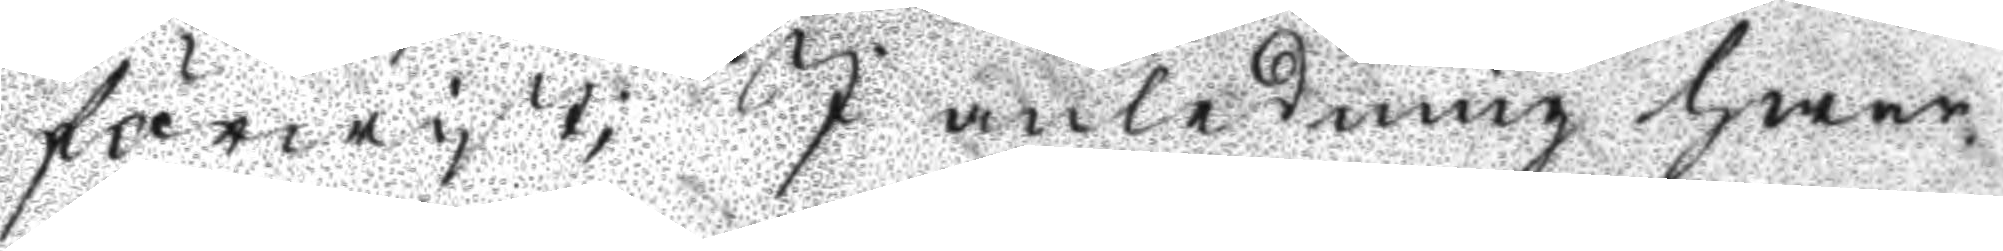förewist; J anledning hwar¬
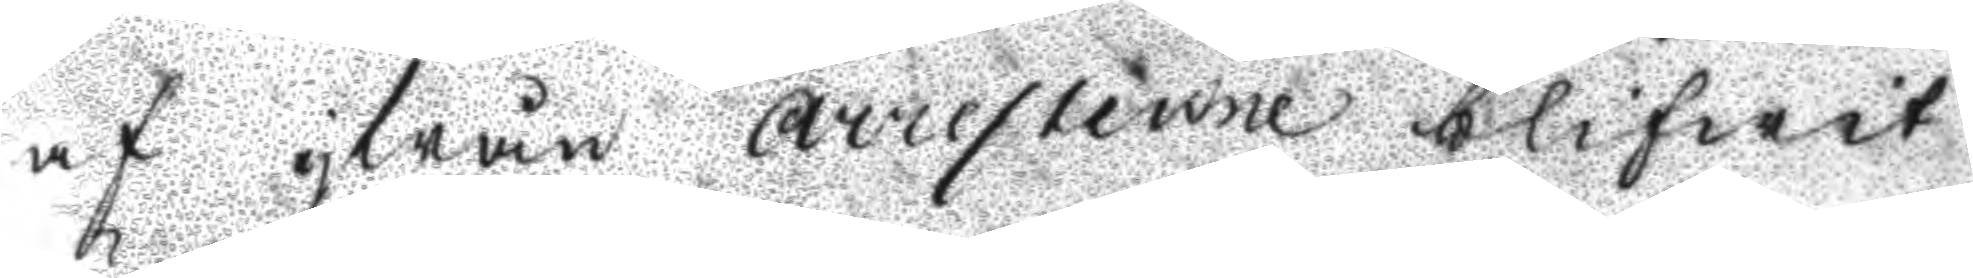af ifrån Arresterne blifwit
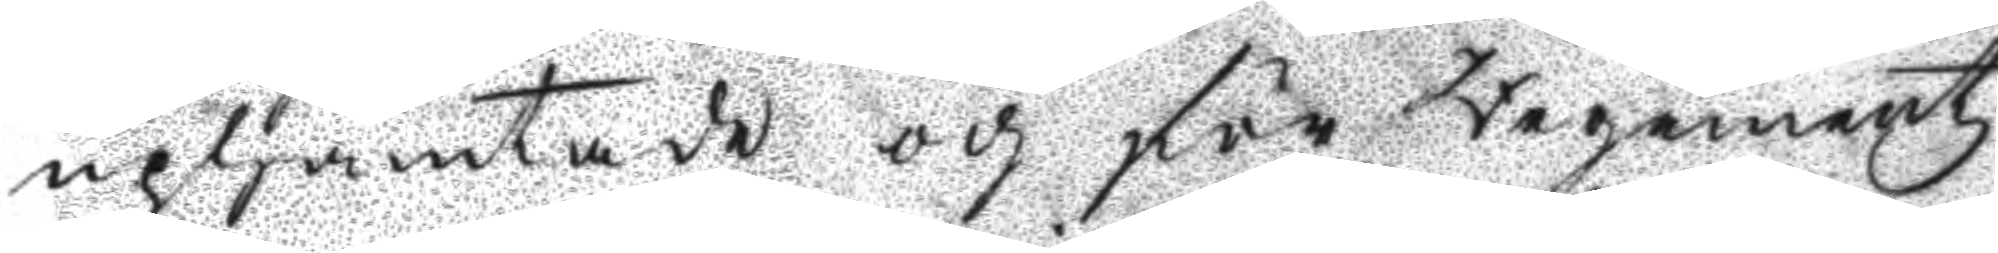uphämtade och för Regementz
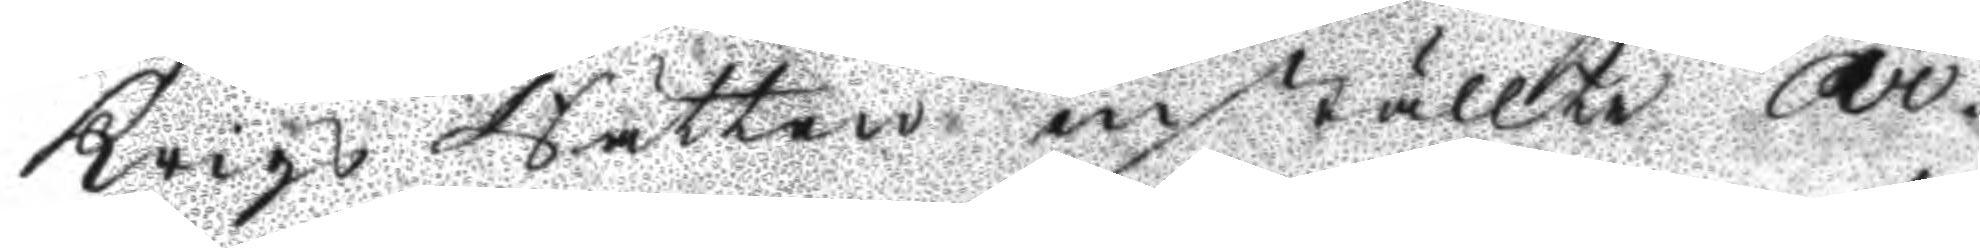Krigs Rätten inställte Ar¬
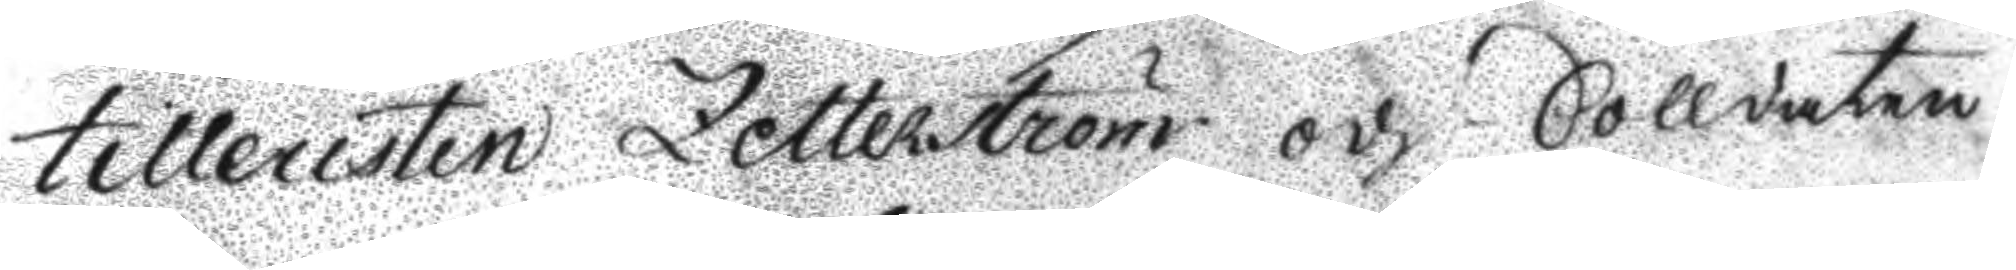tilleristen Zetterström och Solldaten
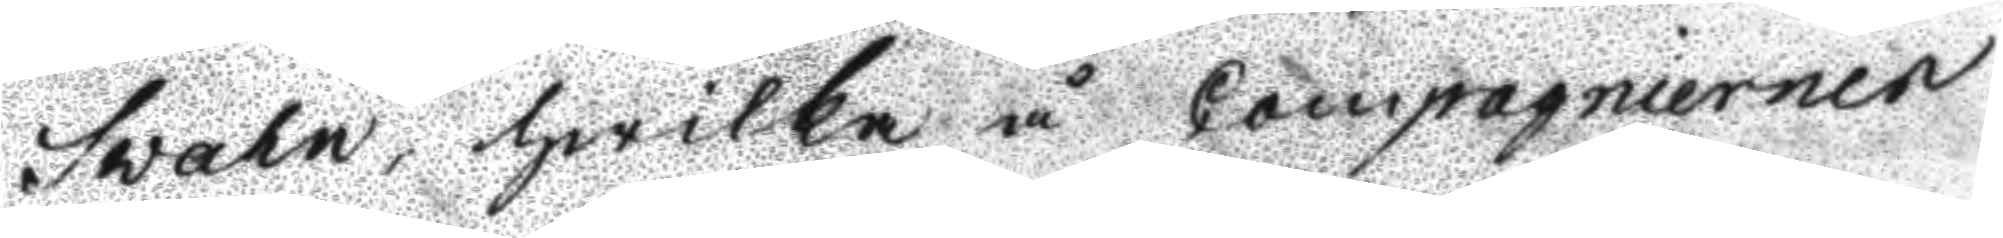Svahn, hwilka å Compagniernen
